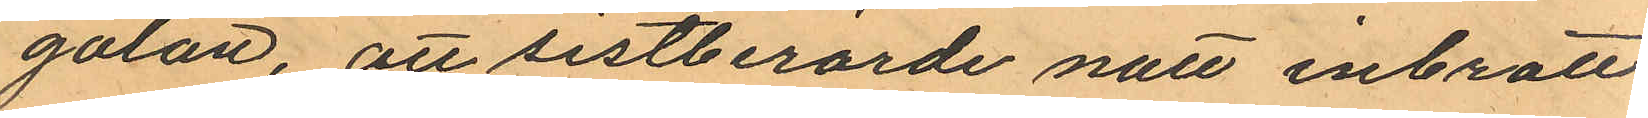gatan, att sistberörde natt inbrott
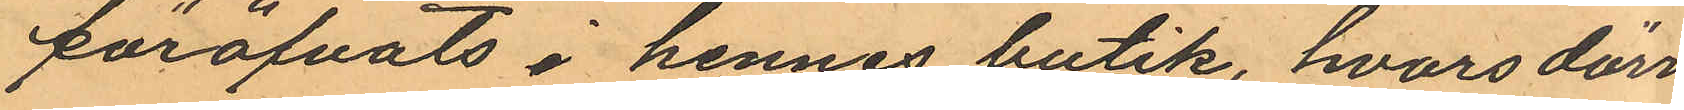föröfvats i hennes butik, hvars dörr
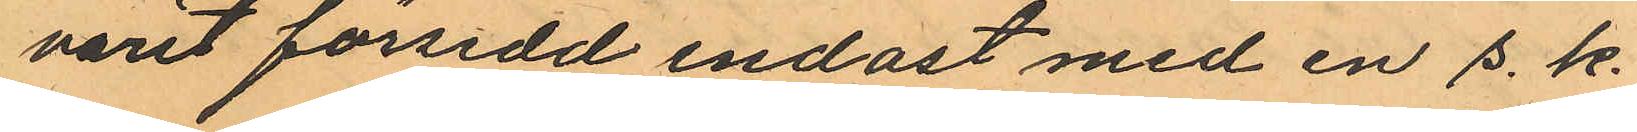varit försedd endast med en s. k.
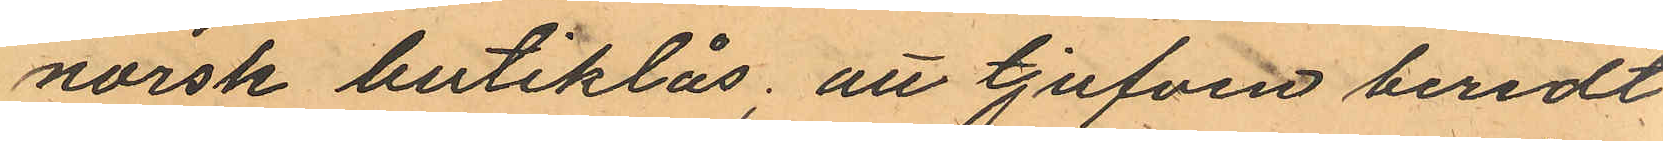norsk butiklås, att tjufven beredt
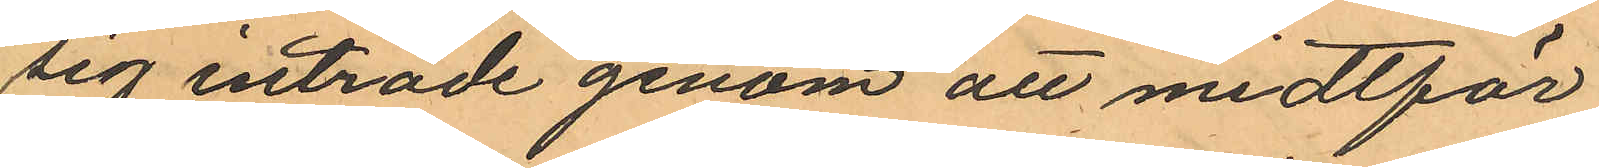sig inträde genom att midtför
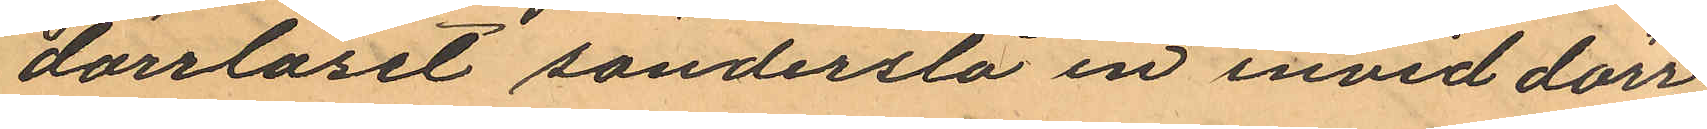dörrlåset sönderslå en invid dörr¬
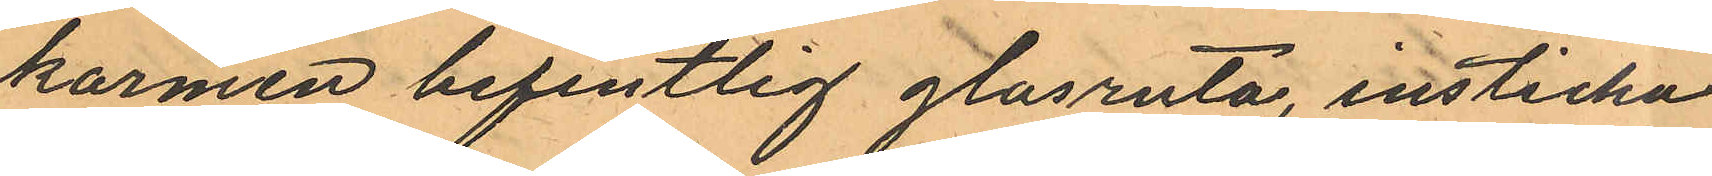karmen befintlig glasruta, insticka
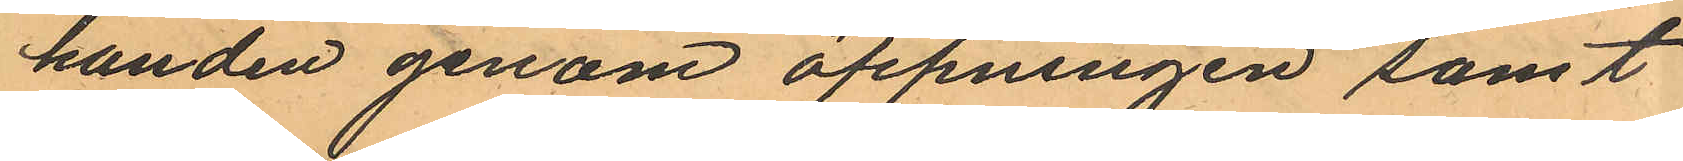handen genom öppningen samt
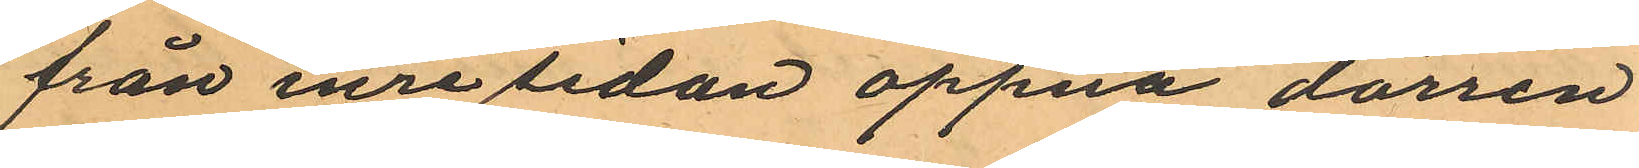från inre sedan öppna dörren
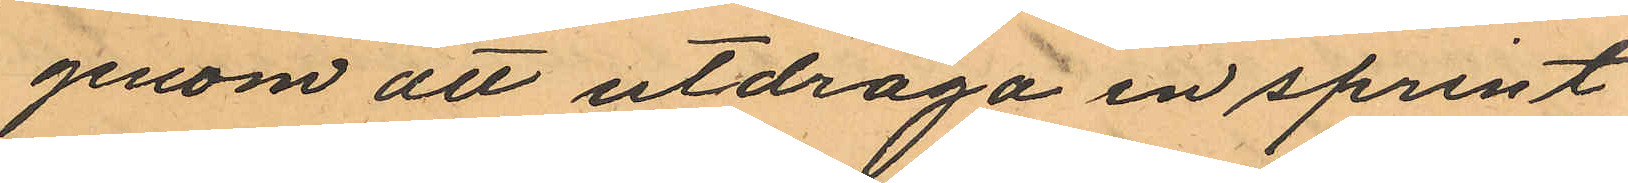genom att utdraga en sprint
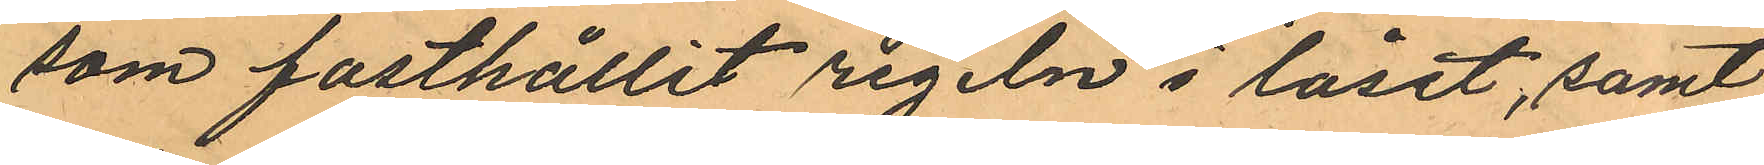som fasthållit regeln i låset, samt
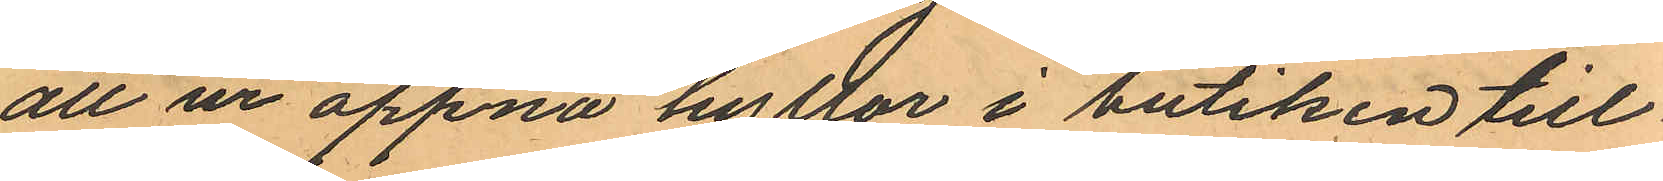att ur öppna hyllor i butiken till
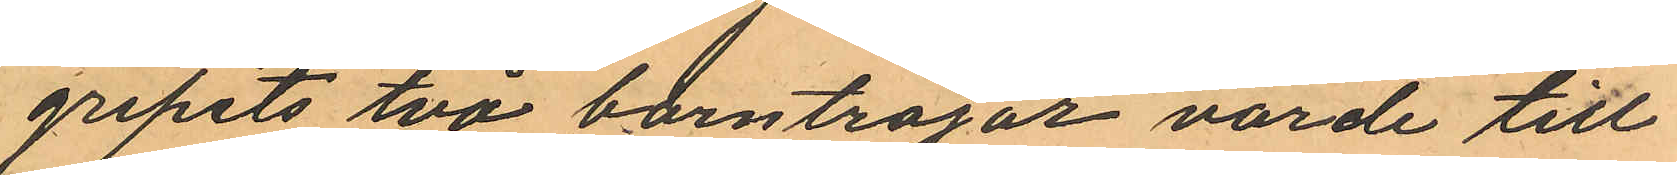gripits två barntröjor värde till
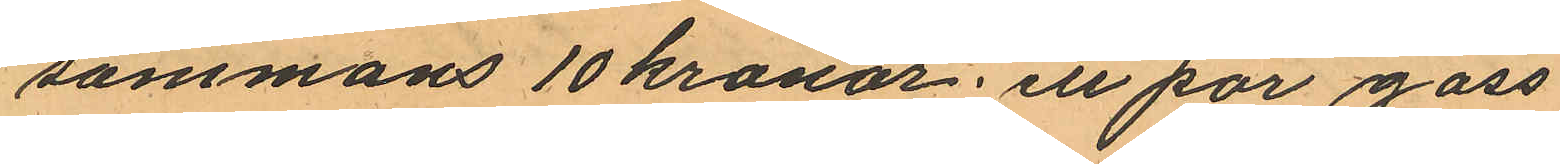sammans 10 kronor; ett par goss
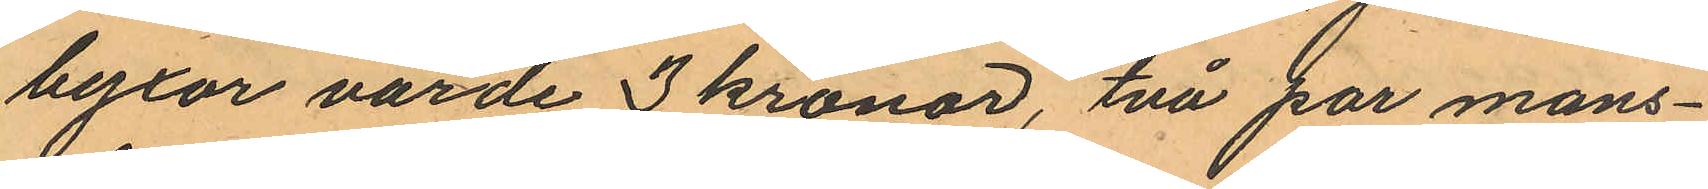byxor värde 3 kronor, två par mans¬
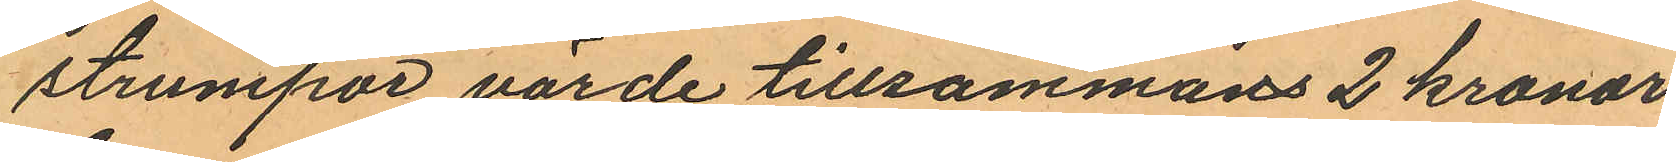strumpor värde tillsammans 2 kronor
